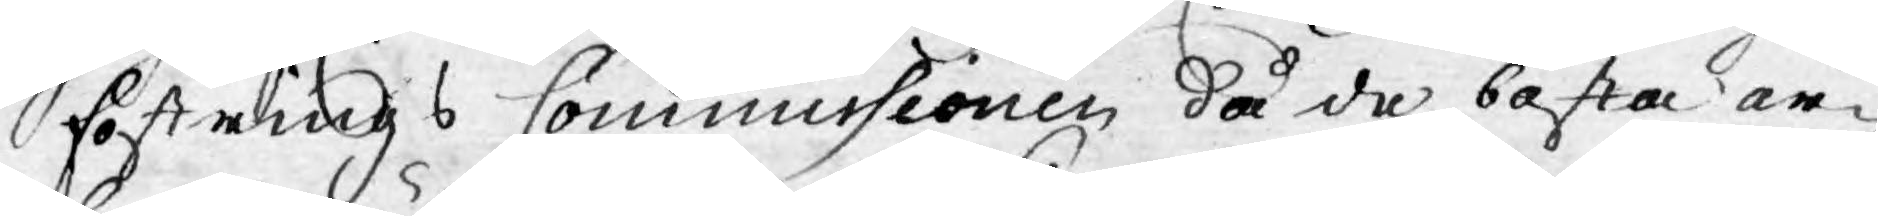fostrings Commissionen då de bästa ar¬
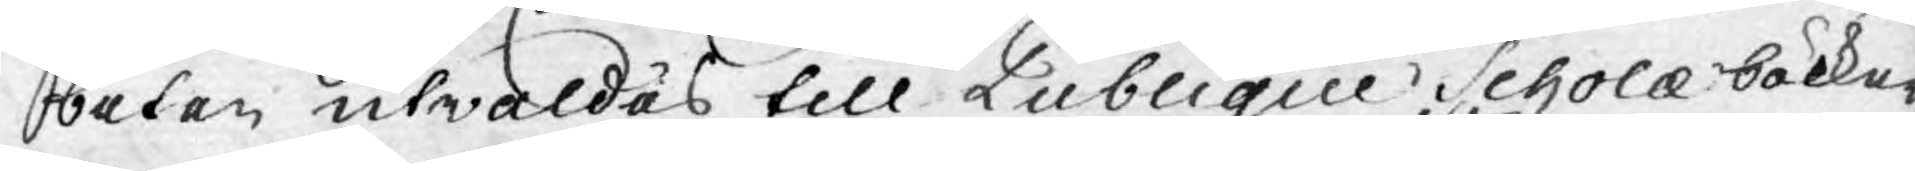beten utwaldes till Publique Scholæ böcker
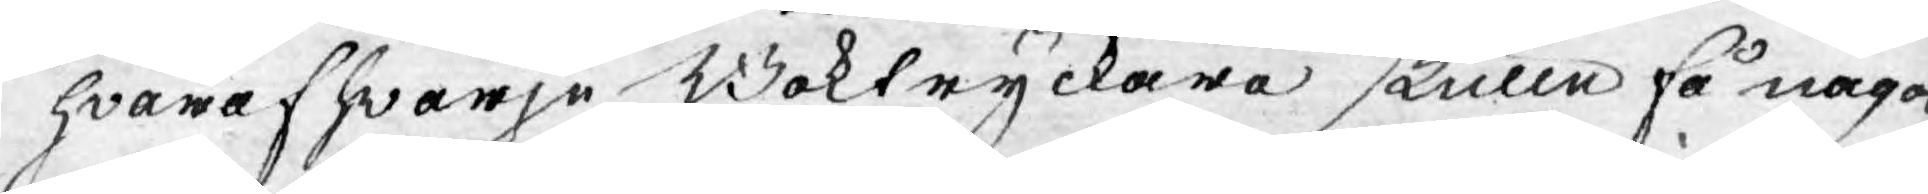hwaraf hwarje Boktryckare skulle få något
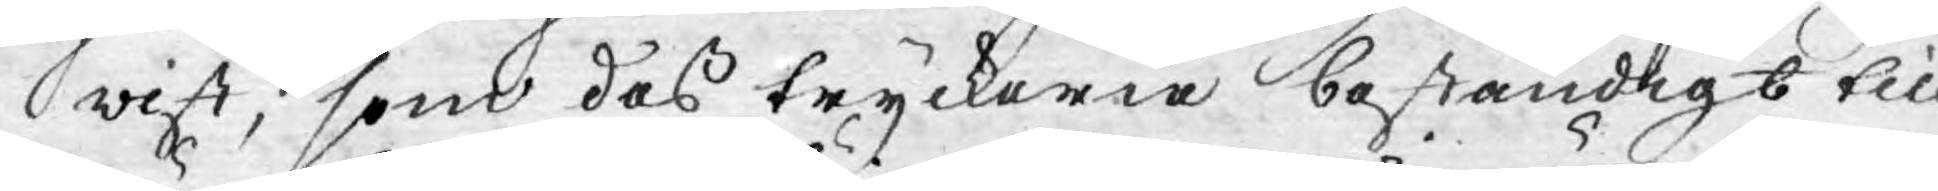wist, som dess tryckerie beständigt till¬
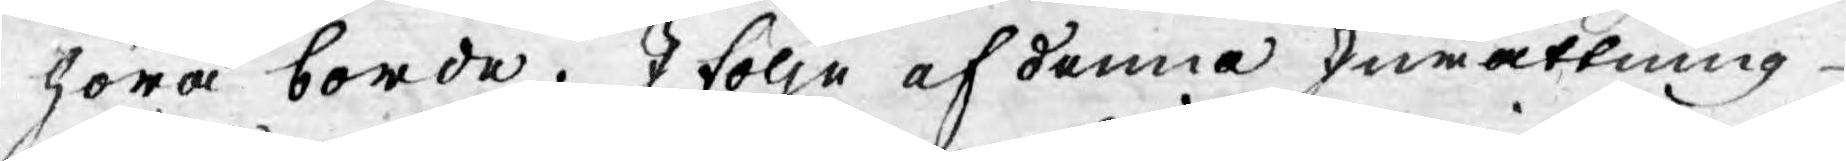höra borde. I följe af denna Inrättning
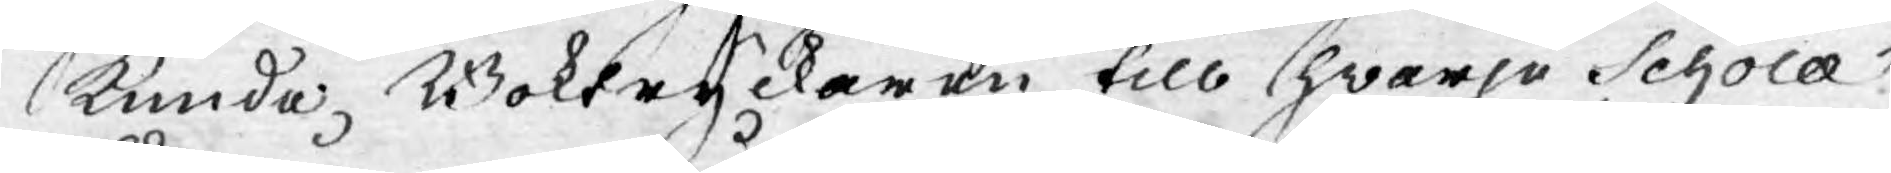kunde Boktryckaren till hwarje Scholæ
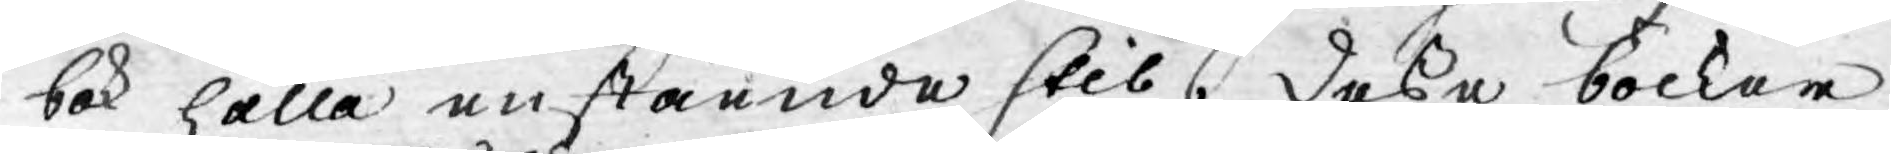bok hålla en stående stil. Desse böcker
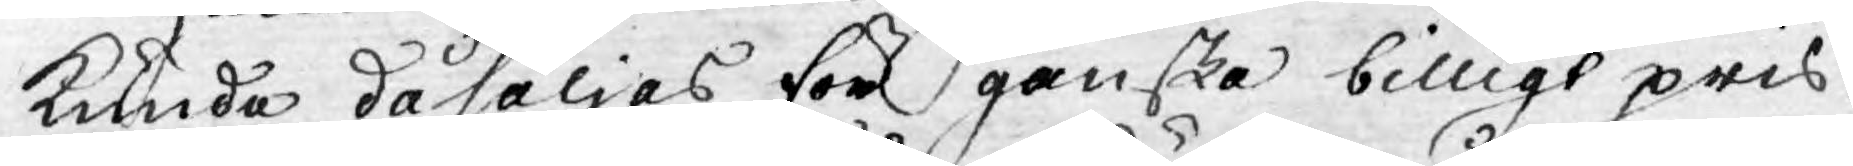kunde då säljas för ganska billigt pris,
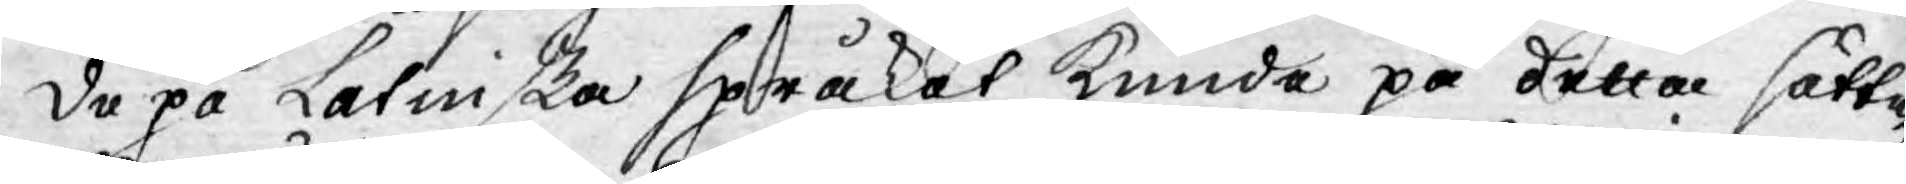De på Latinska språket kunde på detta sättet
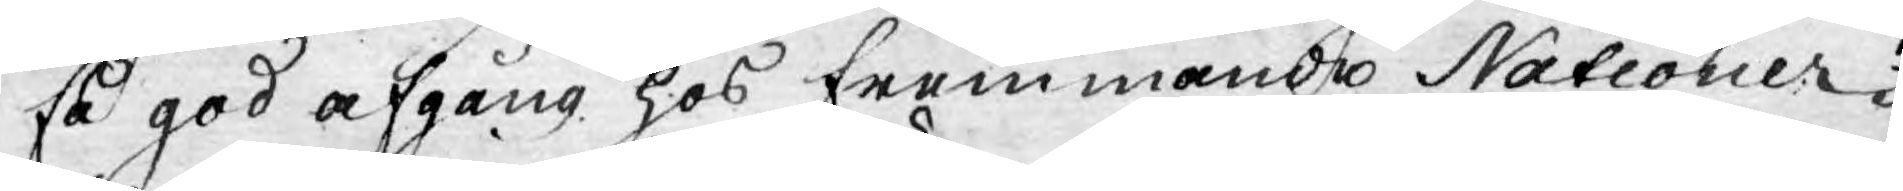få god afgång hos fremmande Nationer.
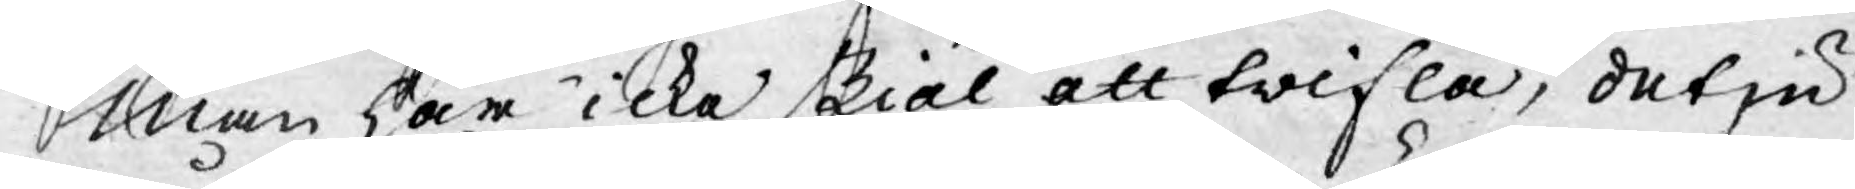Man har icke skiäl att twifla, det ju
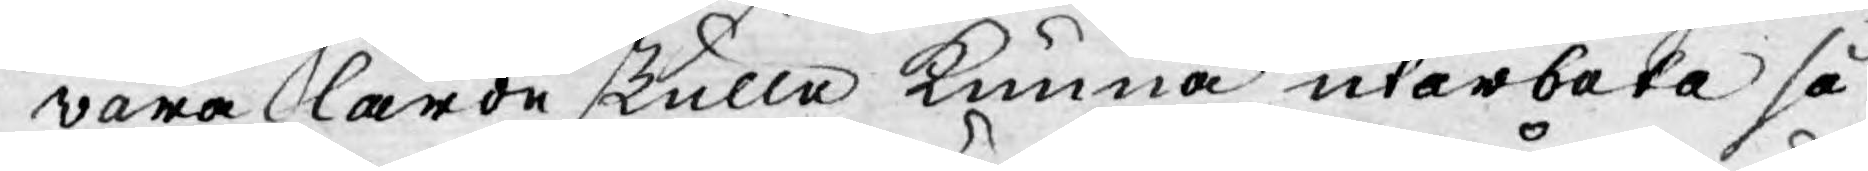våra lärde skulle kunna utarbeta så
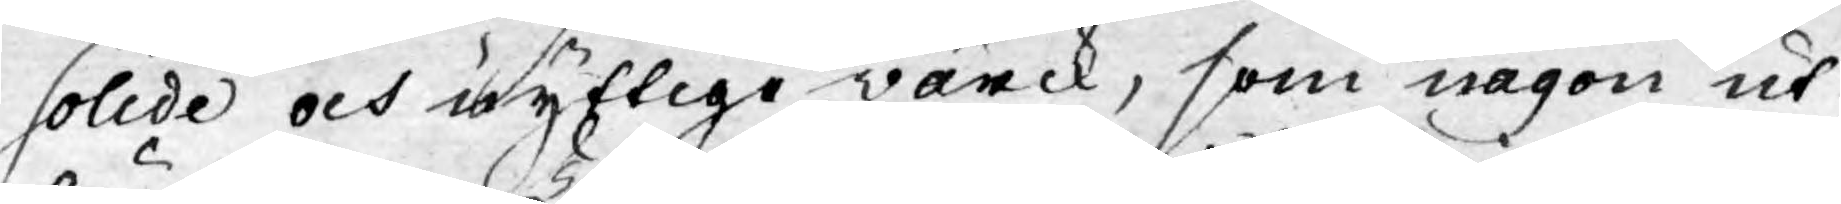solide och nyftige wärck, som någon ut¬
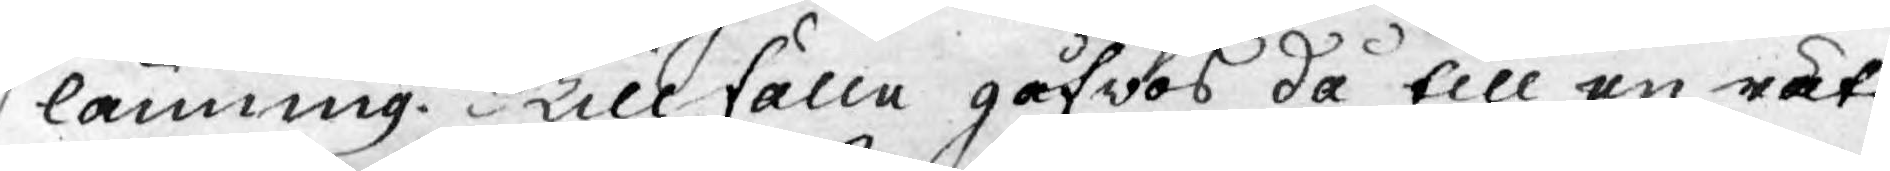länning. Tillfälle gåfwos då till en rätt
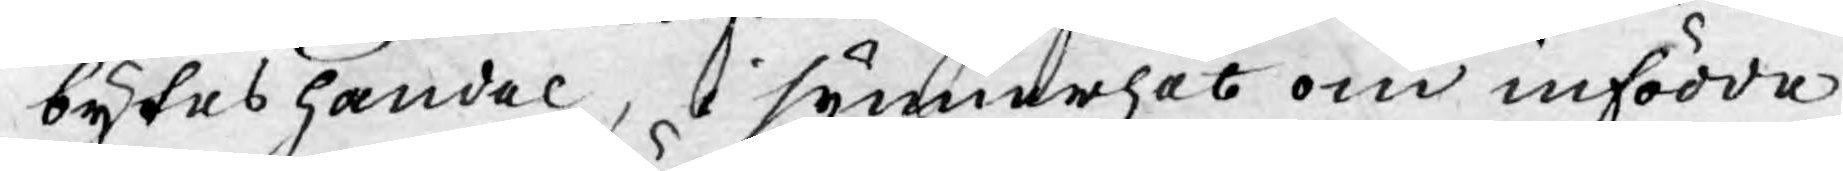byteshandel,  i synnerhet om infödde
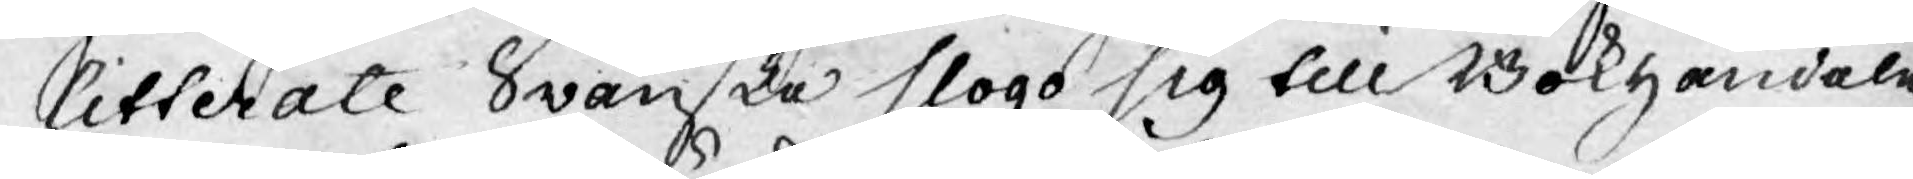Litterate Swänske slogo sig till Bokhandeln
